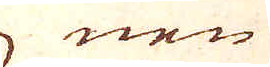nen
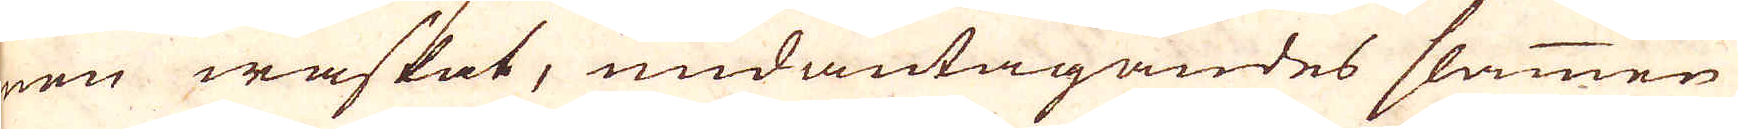nen waskat, undantagandes slammen
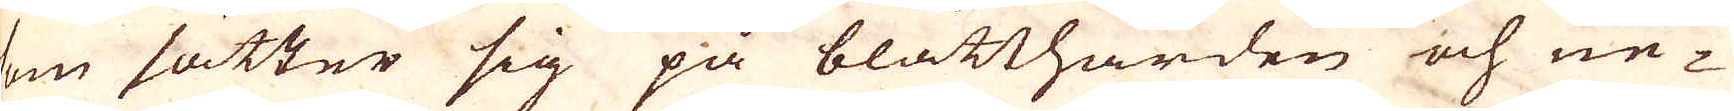som sätter sig på blåtthärden och ne-
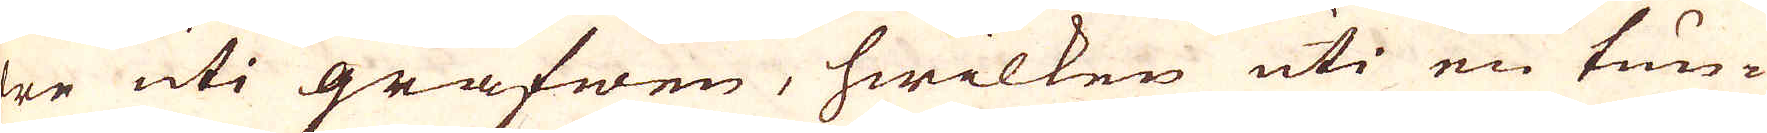der uti grafwen, hwilken uti en tun-
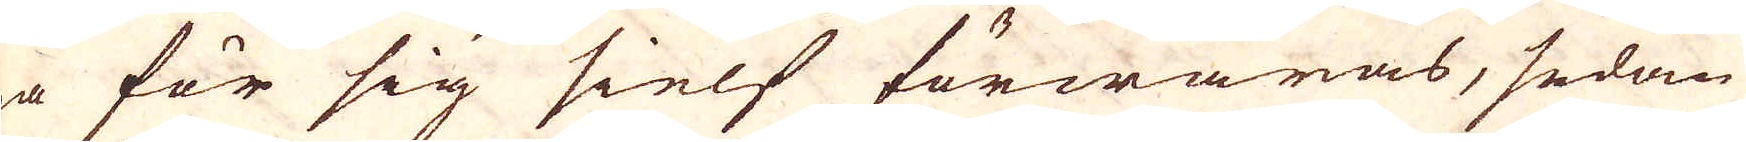na för sig sielf förwaras, sedan
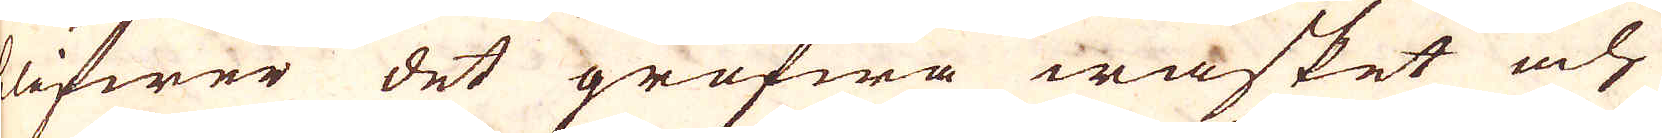blifwer det grofwa wasket och
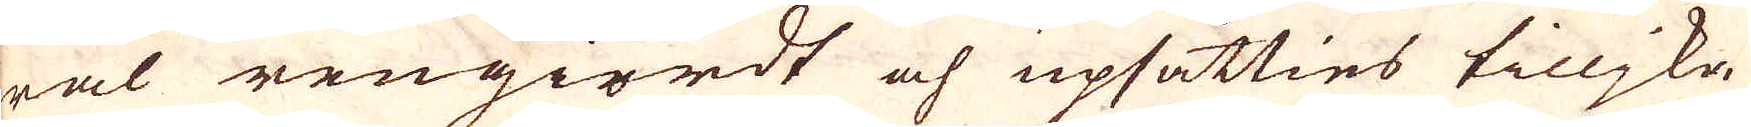wäl rengiordt och upsätties tillika
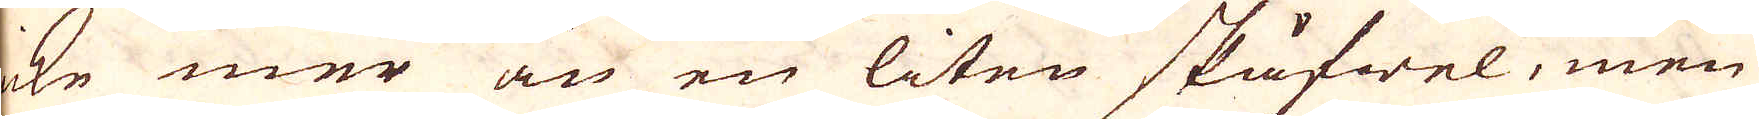icke mer än en liten skåfwel, men
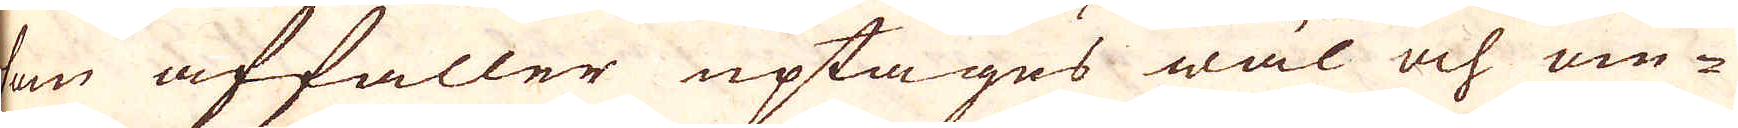som affaller uptages wäl och om-
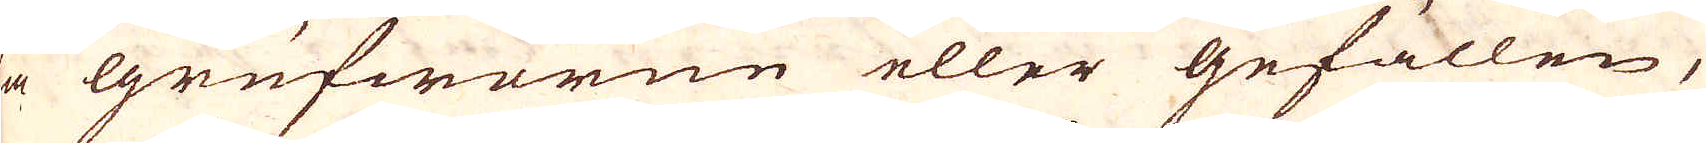la grufworne eller gefällen,
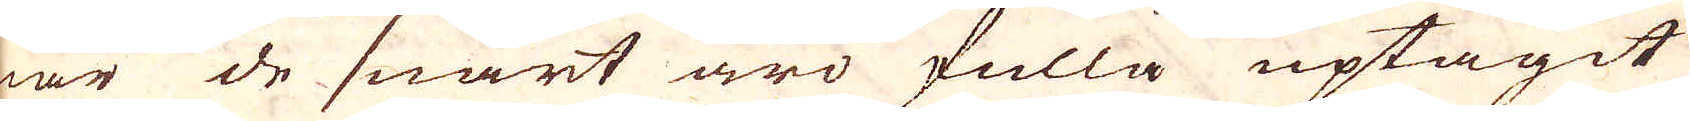när de snart äro fulla uptagit
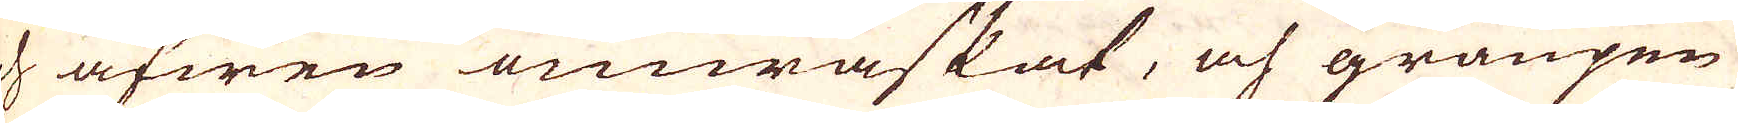och äfwen omwaskat, och graupen
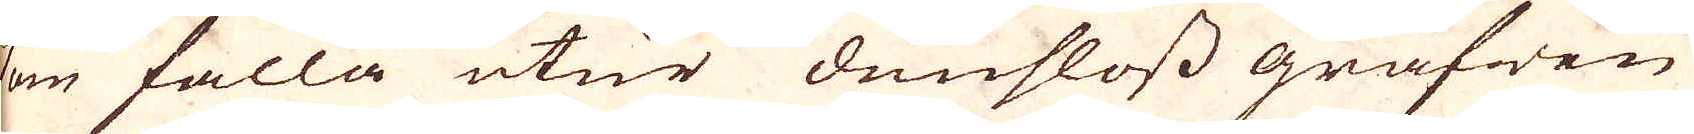som falla utur dunsloss grafwen
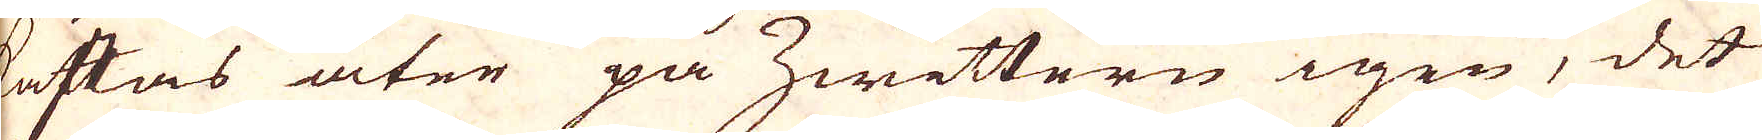kastas åter på Zwiettern igen, det
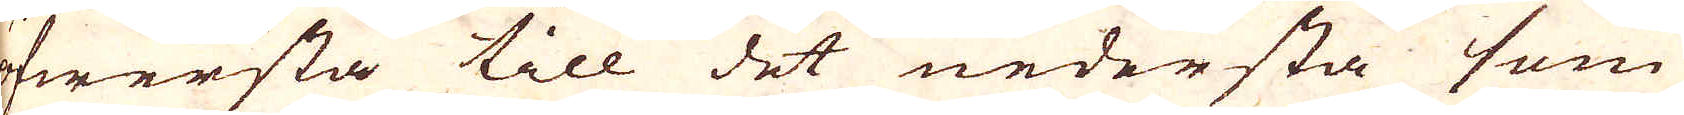öfwersta till det nedersta som
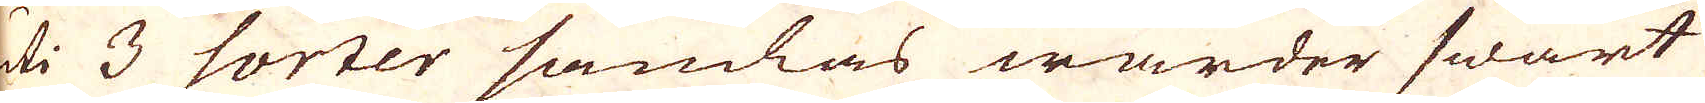uti 3 sorter samlas warder hwart
